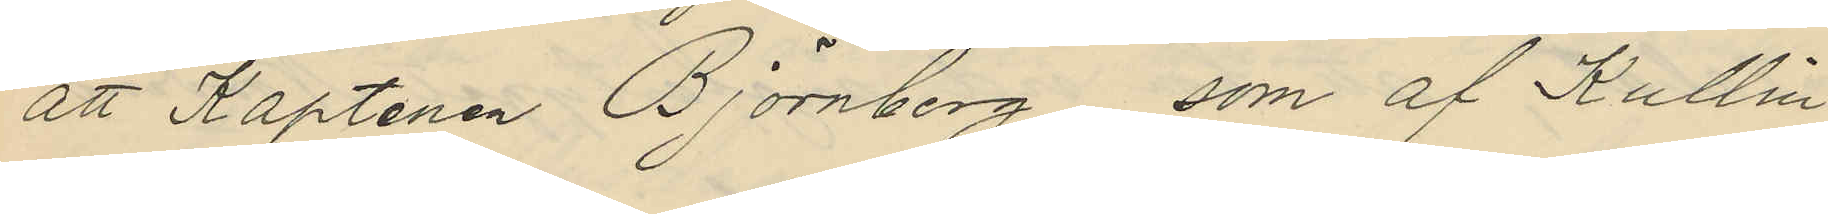att Kaptenen Björnberg, som af Kullin
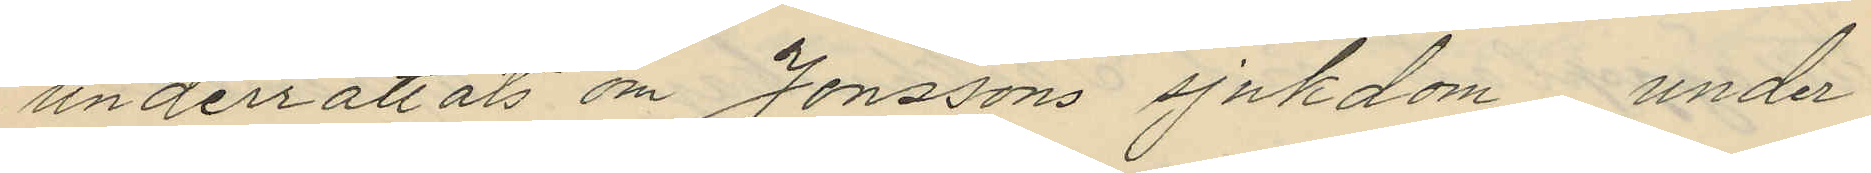underrättats om Jonssons sjukdom under
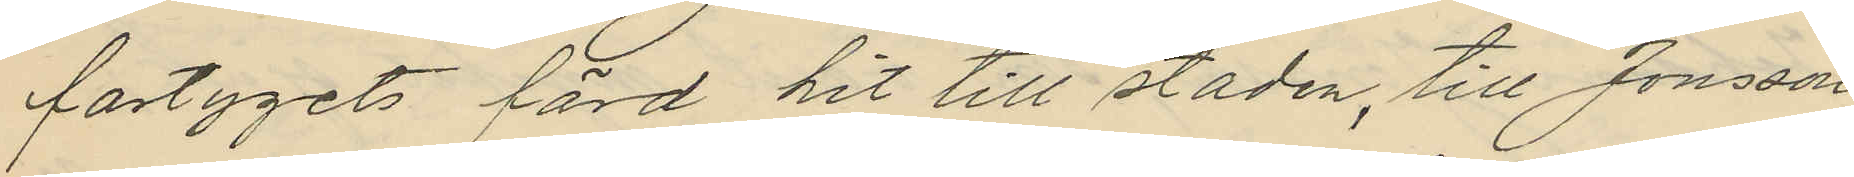fartygets färd hit till staden, till Jonsson
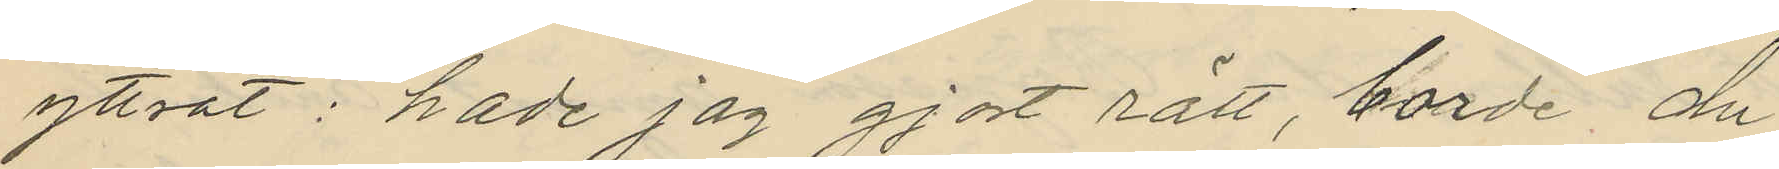yttrat: "hade jag gjort rätt, borde du
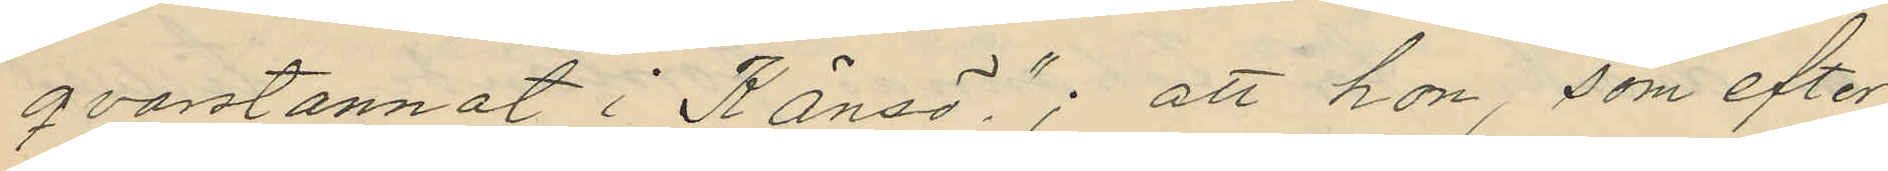qvarstannat i Känsö"; att hon, som efter
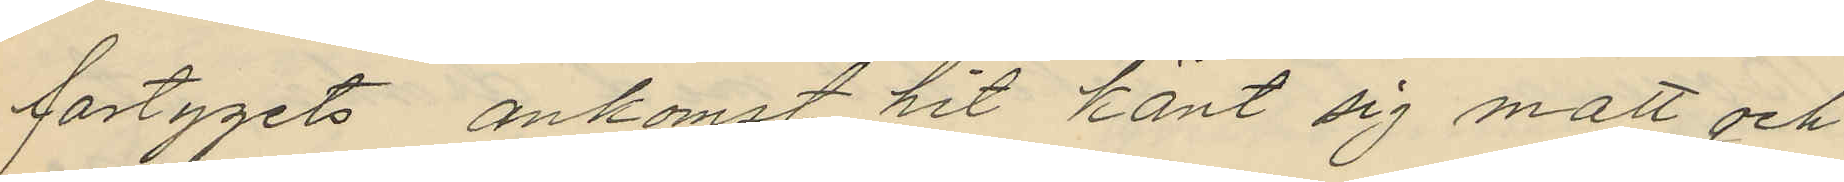fartygets ankomst hit känt sig matt och
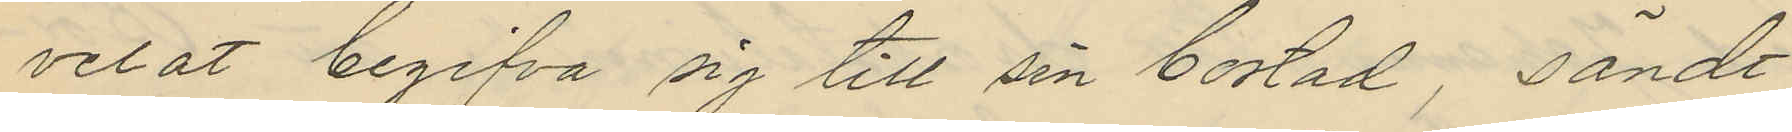velat begifva sig till sin bostad, sände
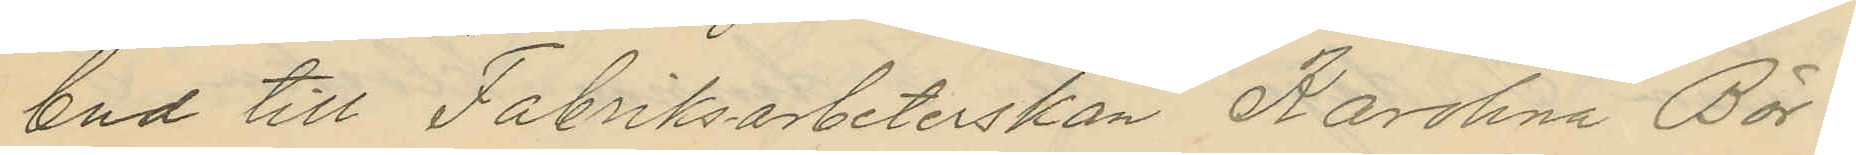bud till Fabriksarbeterskan Karolina Bör¬
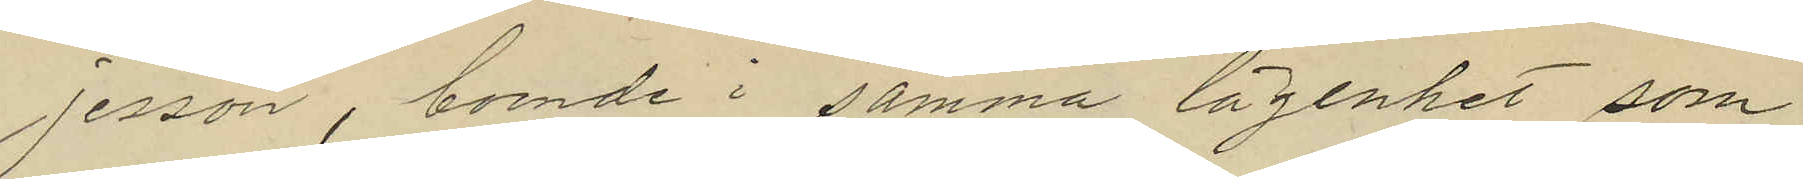jesson, boende i samma lägenhet som
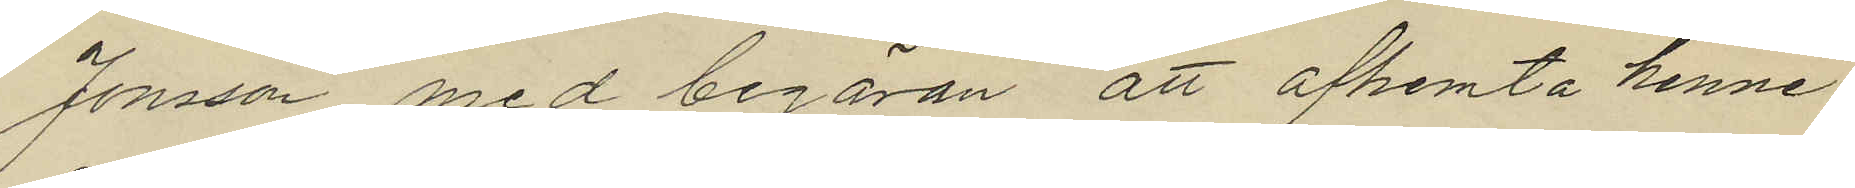Jonsson med begäran att afhemta henne
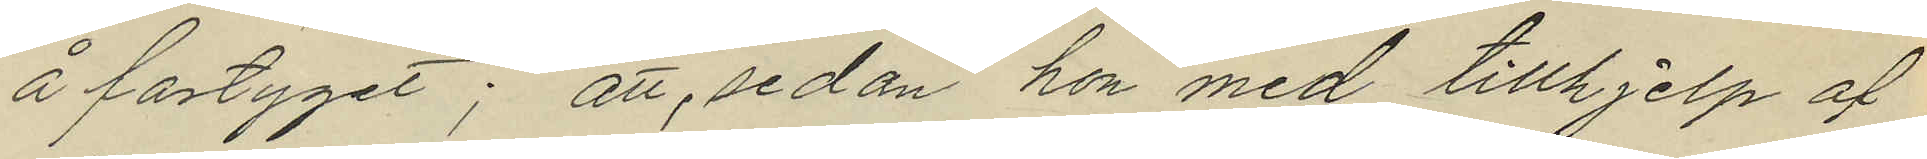å fartyget; att, sedan hon med tillhjelp af
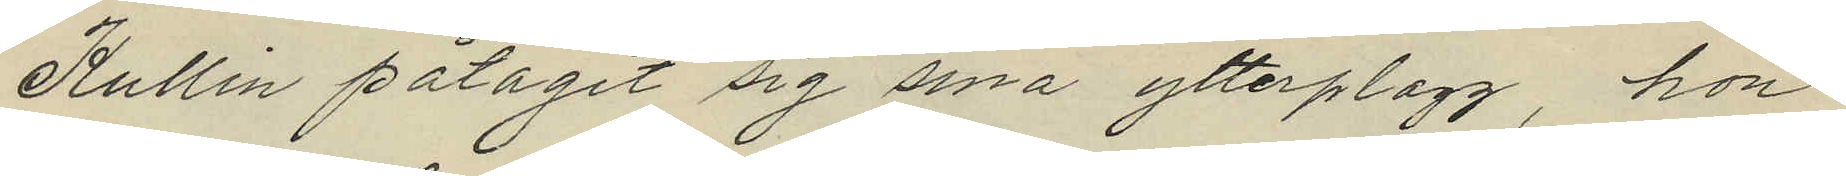Kullin påtagit sig sina ytterplagg, hon
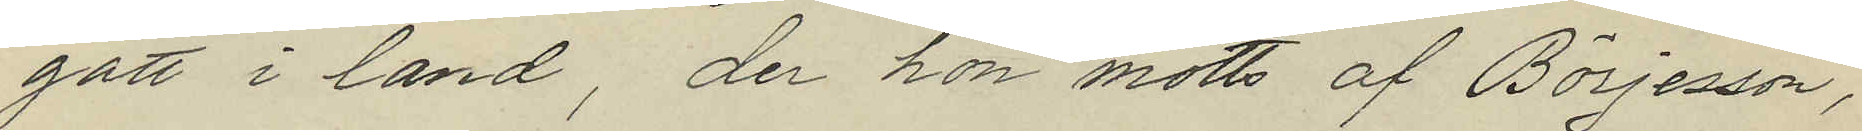gått i land, der hon mötts af Börjesson,
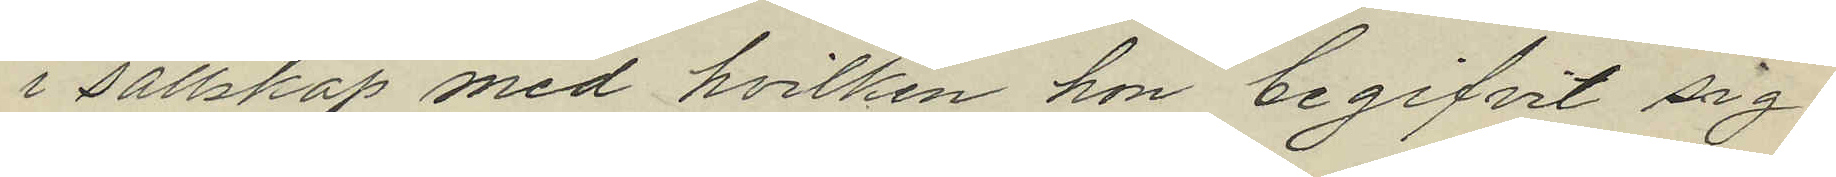i sällskap med hvilken hon begifvit sig
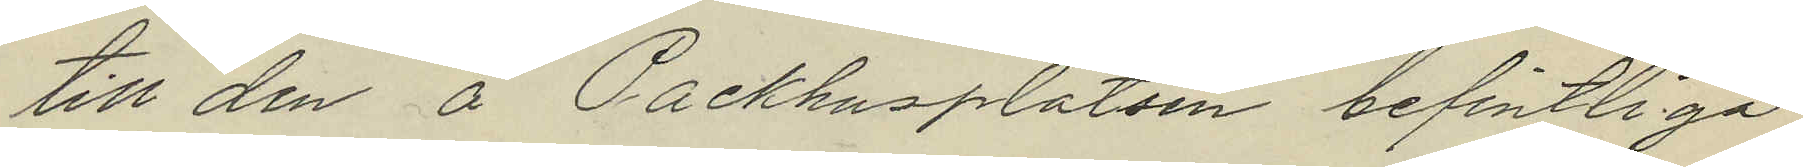till den å Packhusplatsen befintliga
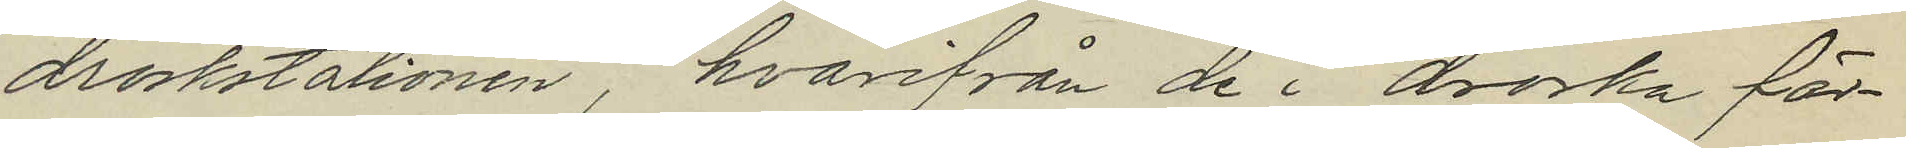droskstationen, hvarifrån de i droska fär¬
